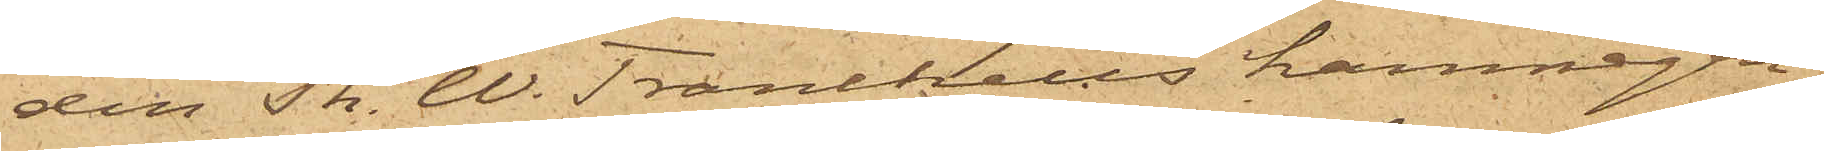den Th. W. Tranchells hamnegen¬
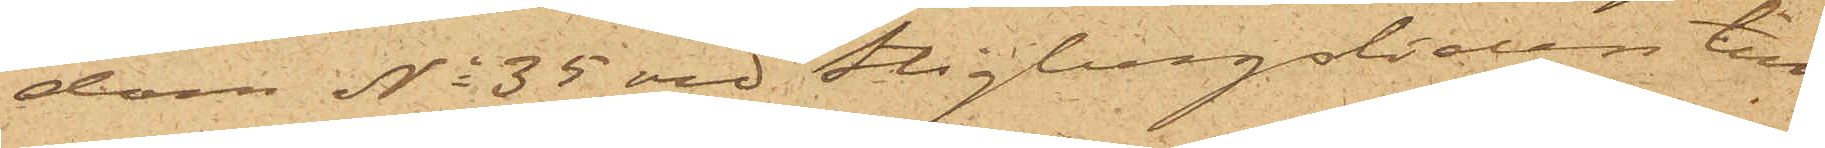dom No 35 vid Stigbergsliden till¬
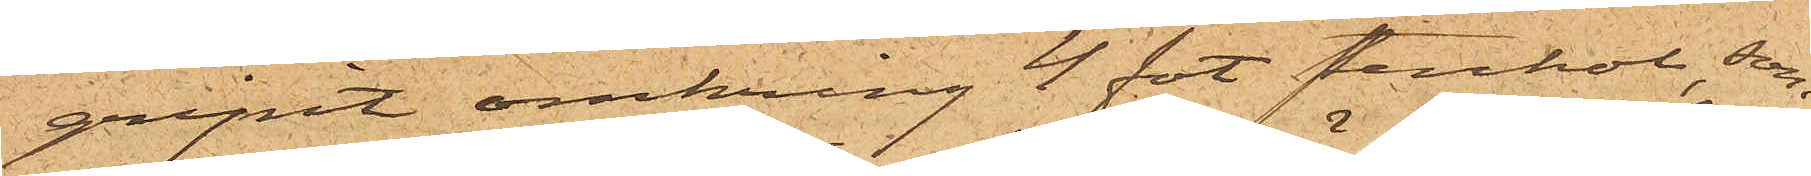gripit omkring 4 fot stenkol, som
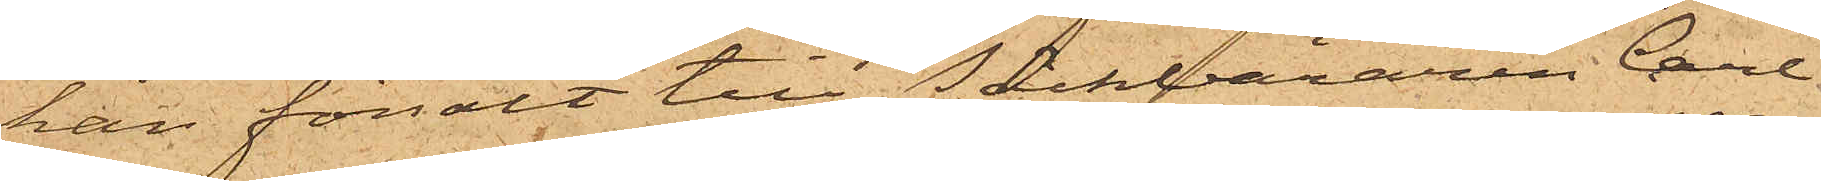han försålt till Säckbäraren Carl
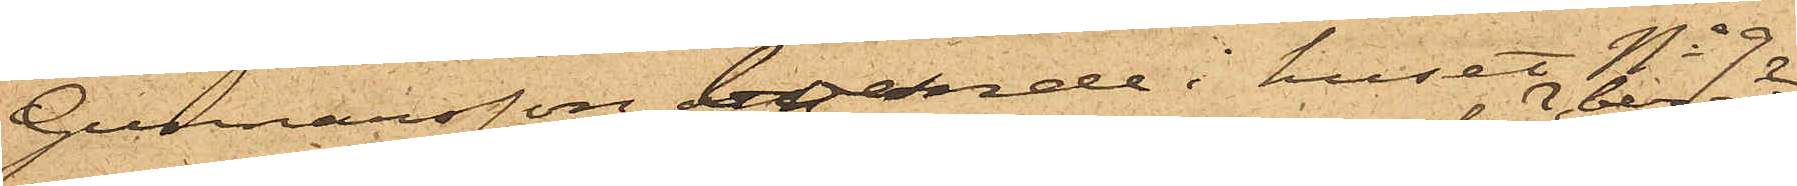Gunnarsson, boende i huset No 9
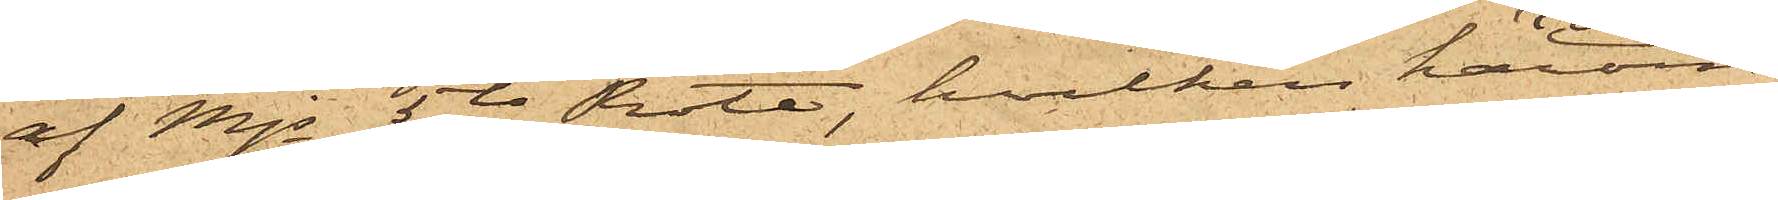af Mjs 5te Rote, hvilken härom
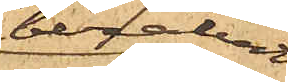berättat
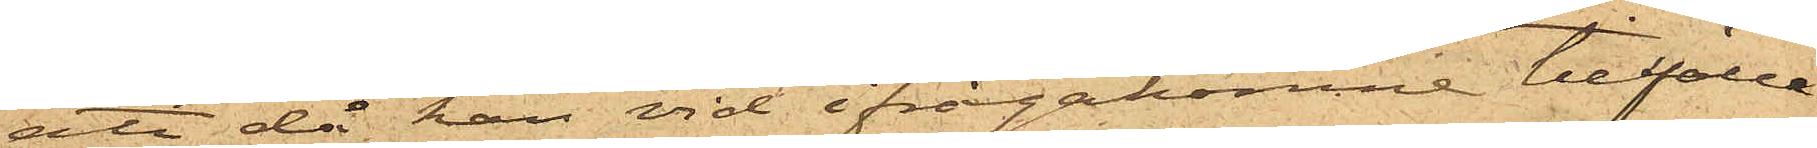att då han vid ifrågakomne tillfälle
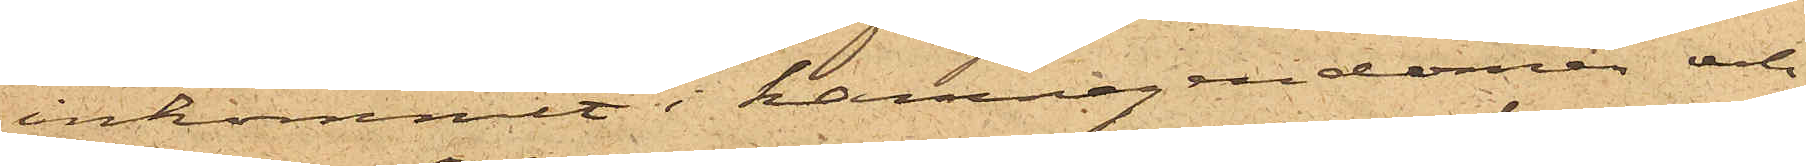inkommit i hamnegendomen och
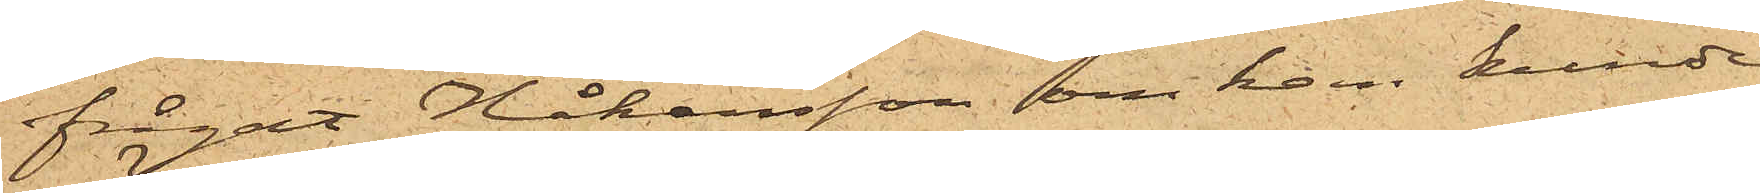frågat Håkansson om han kunde
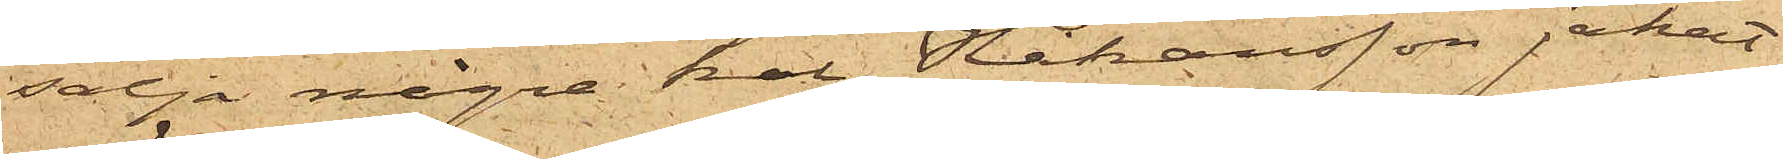sälja några kol, Håkansson jakat
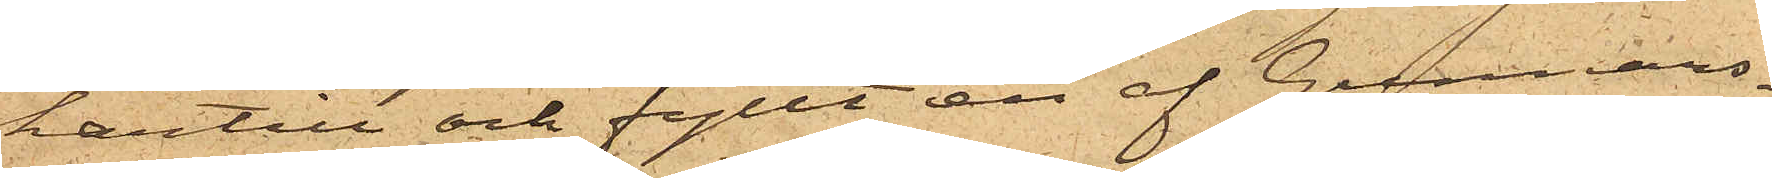härtill och fyllt en af Gunnars¬
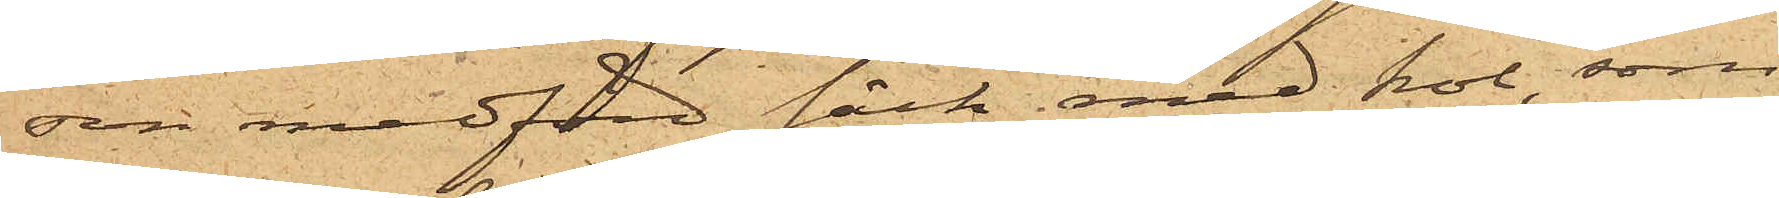son medförd säck med kol, som
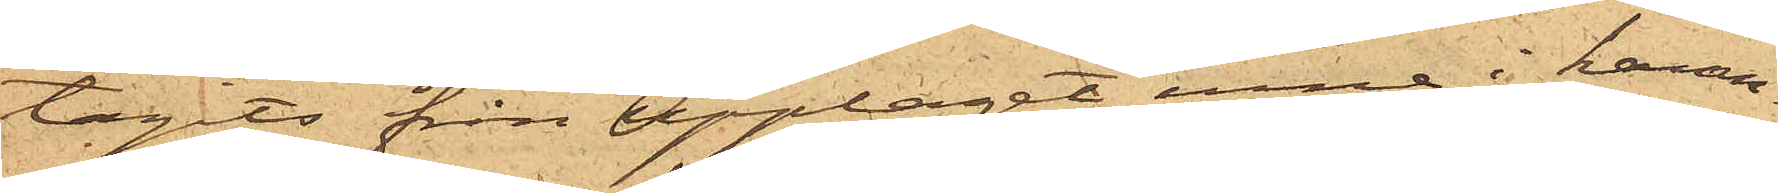tagits från upplaget inne i hamn¬
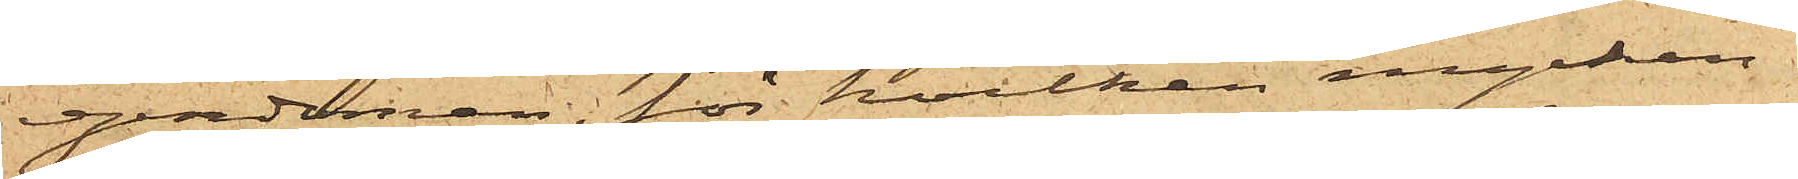egendomen, för hvilken mycken¬
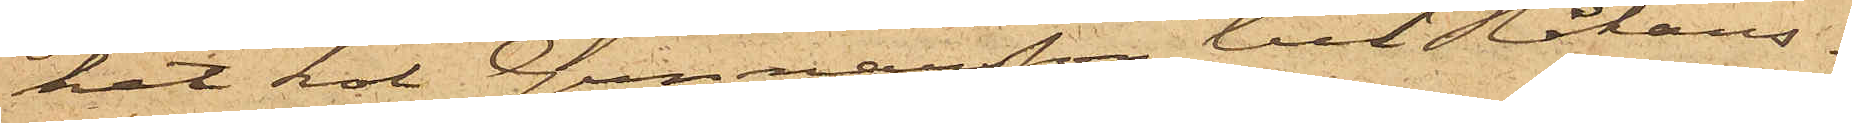het kol Gunnarsson till Johans¬
